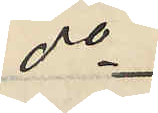do
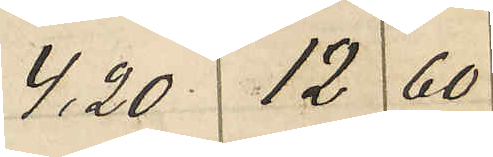4,20 12 60
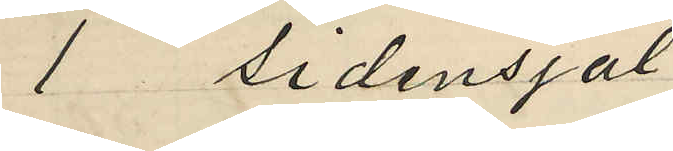1 sidensjal
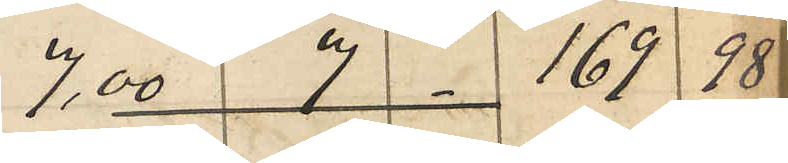7,00 7 169 98
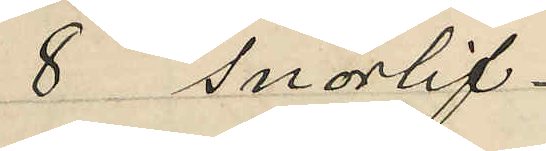8 snörlif
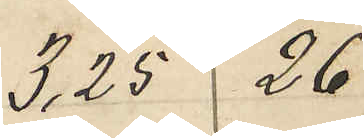3,25 26
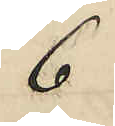6
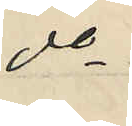do
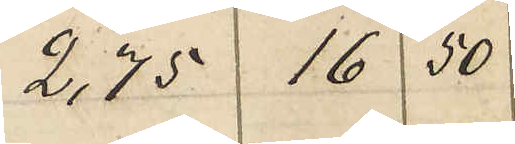2,75 16 50
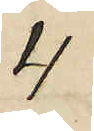4
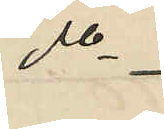do
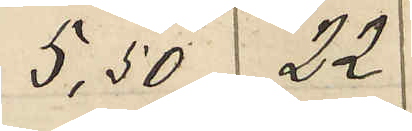5,50 22
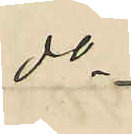do
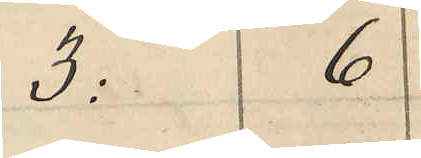3: 6
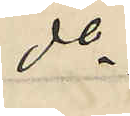do
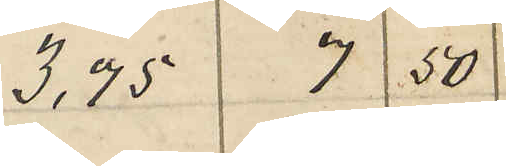3,75 7 50
